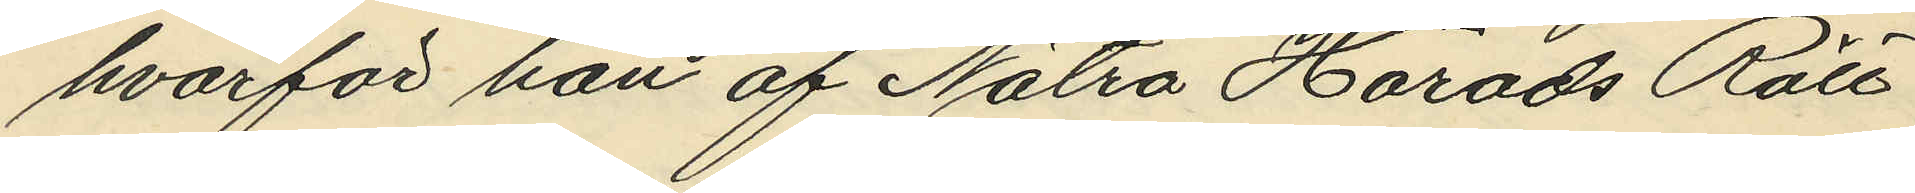hvarför han af Nätra Härads Rätt
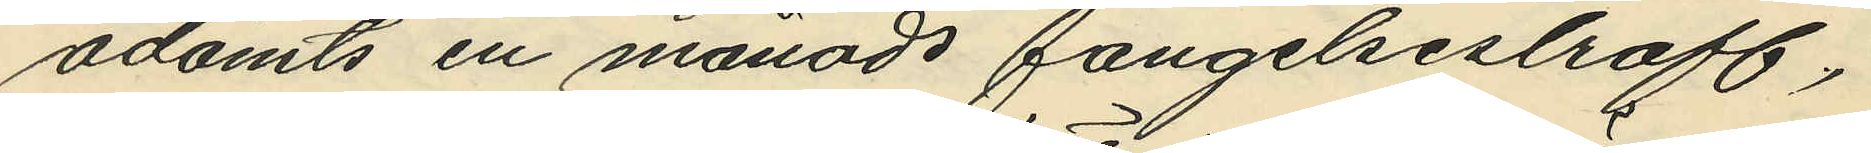ådömts en månads fängelsestraff,
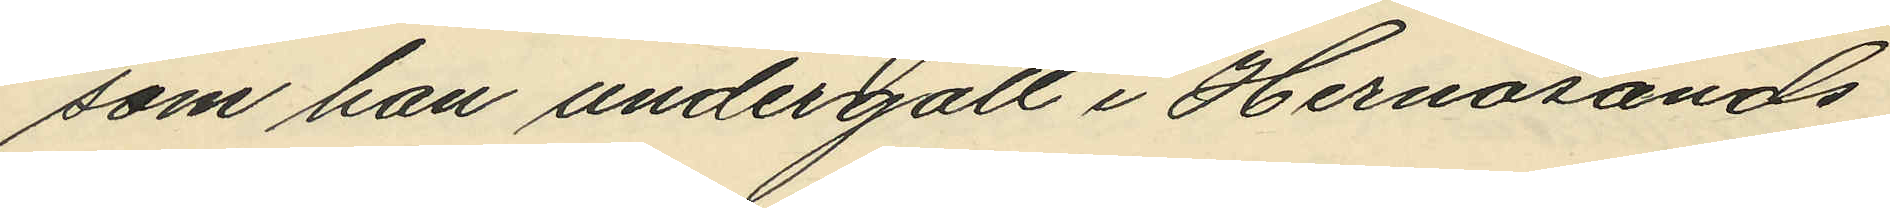som han undergått i Hernösands
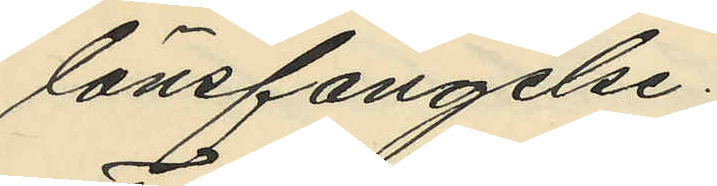länsfängelse;
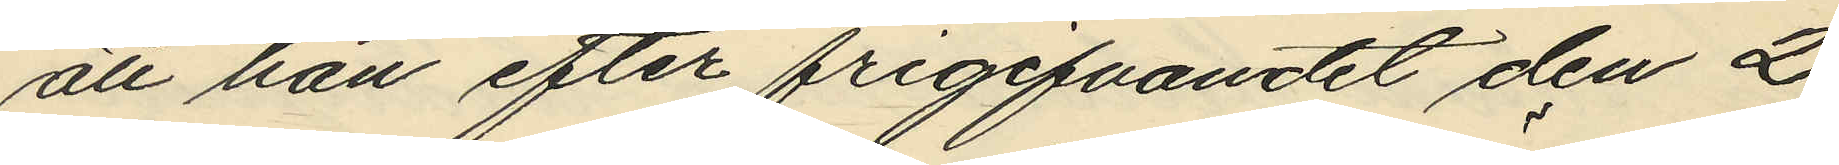att han efter frigifvandet den 2
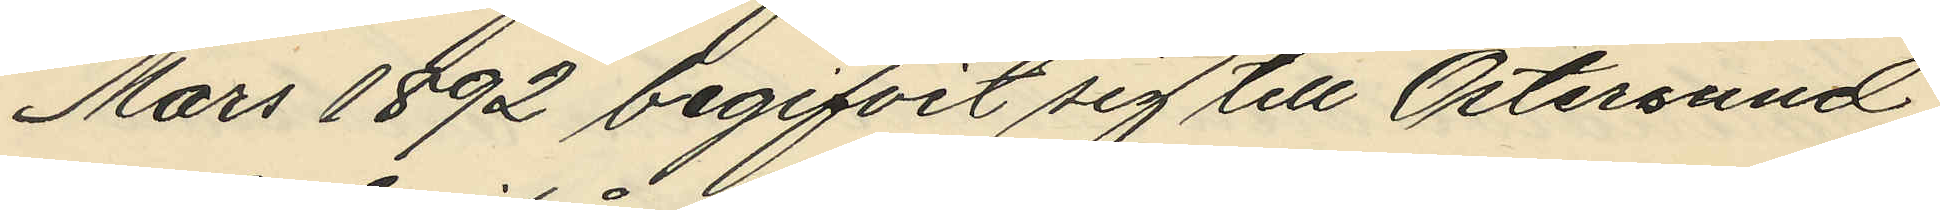Mars 1892 begifvit sig till Östersund
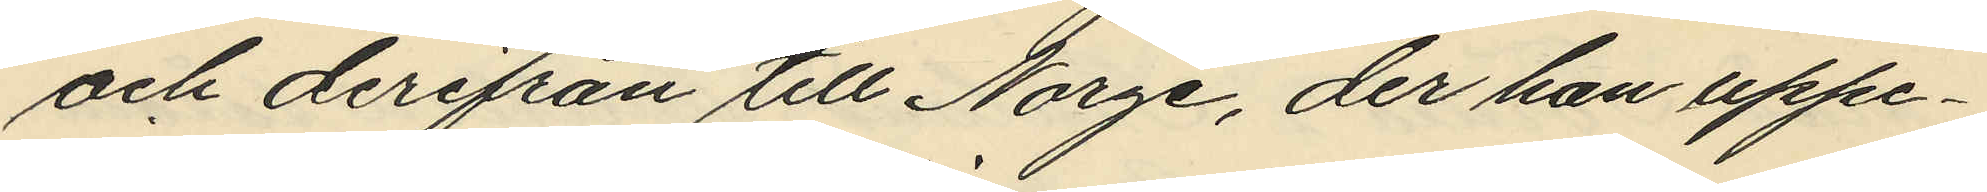och derifrån till Norge, der han uppe¬
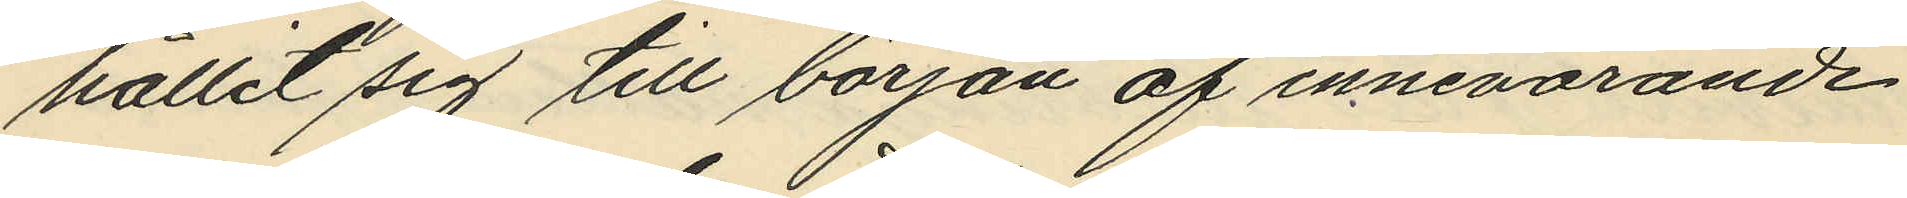hållit sig till början af innevarande
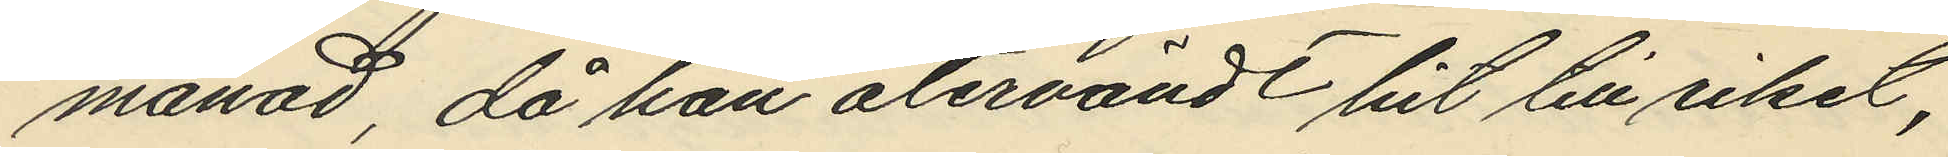månad, då han återvändt hit till riket,
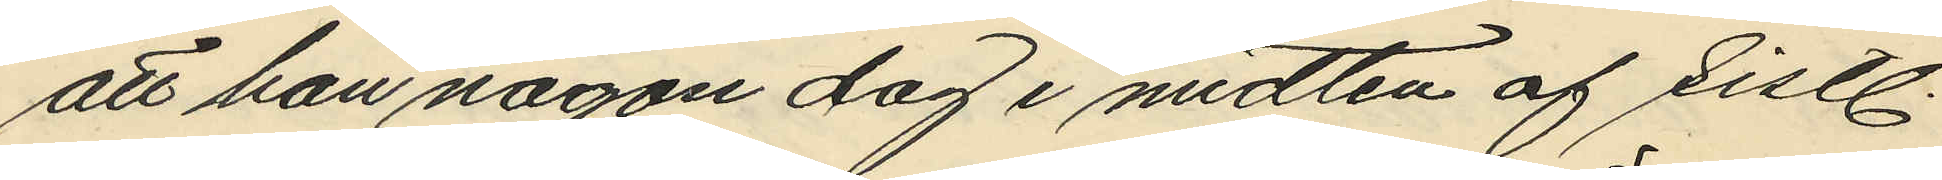att han någon dag i midten af sistl.
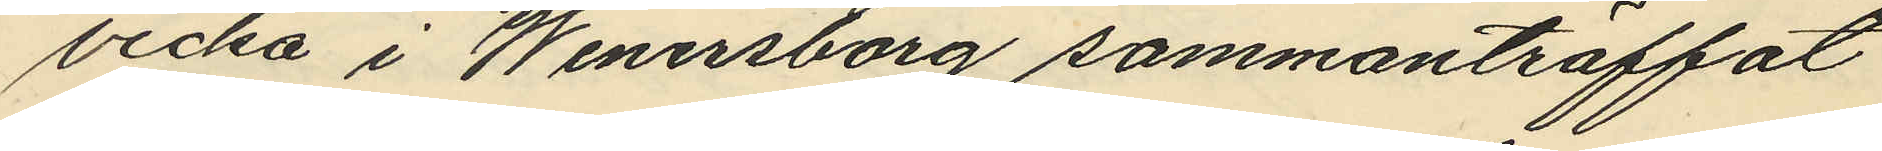vecka i Wenersborg sammanträffat
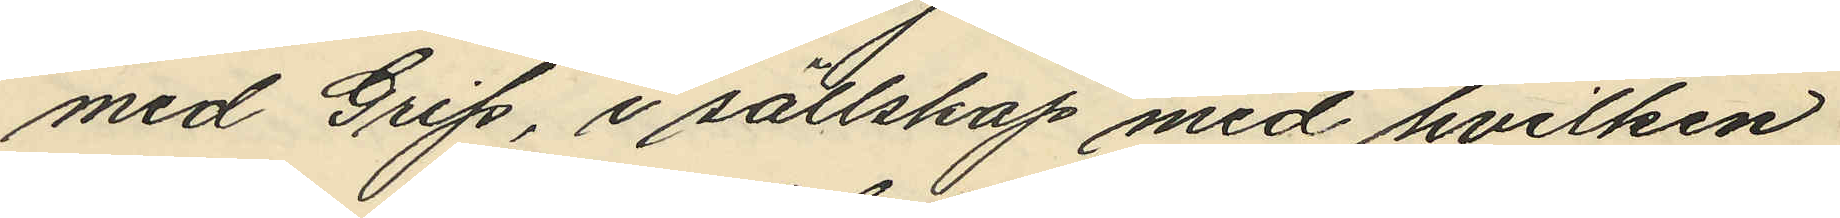med Grip, i sällskap med hvilken
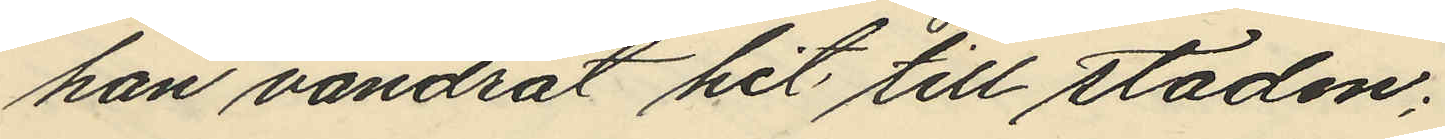han vandrat hit till staden;
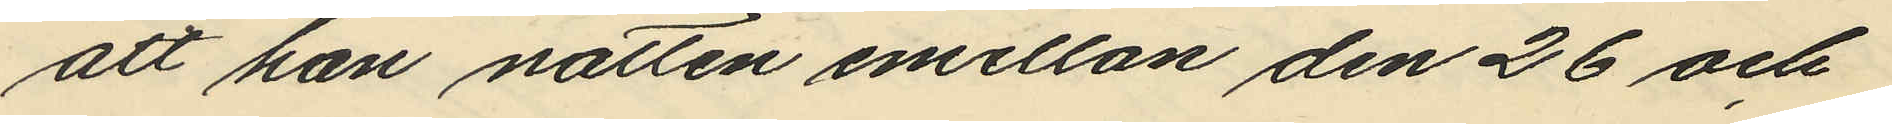att han natten emellan den 26 och
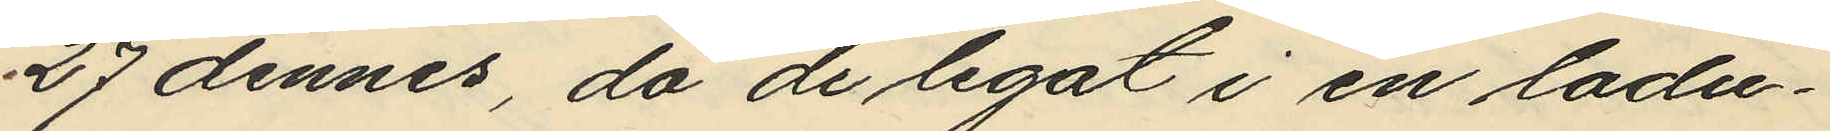27 dennes, då de legat i en ladu¬
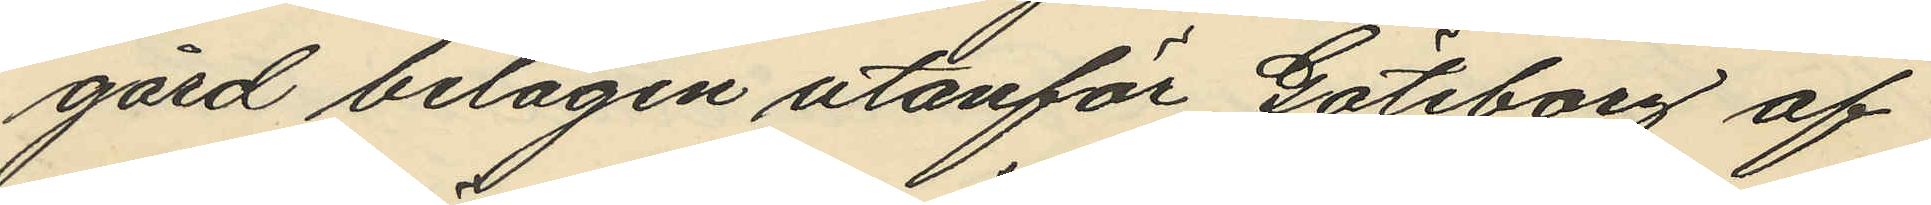gård belägen utanför Göteborg af
